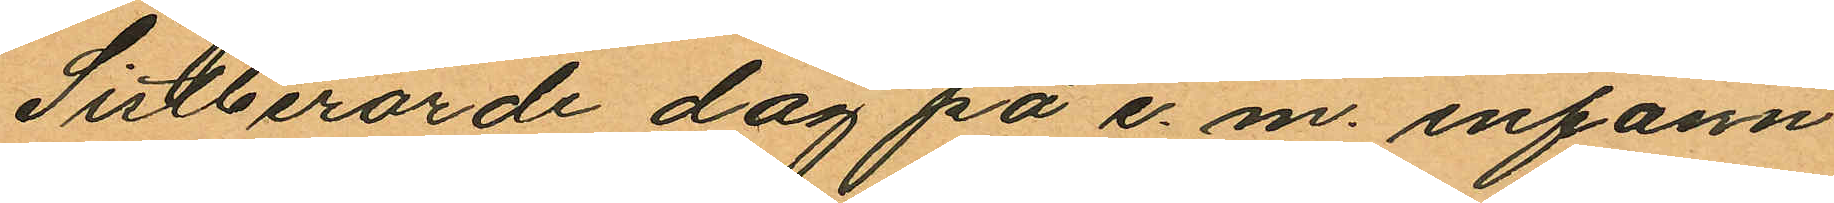Sistberörde dag på e. m. infann
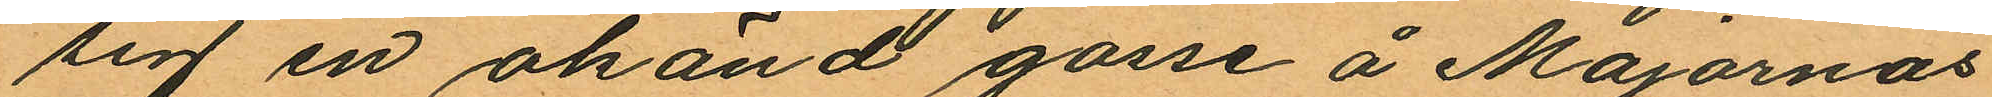sig en okänd gosse å Majornas
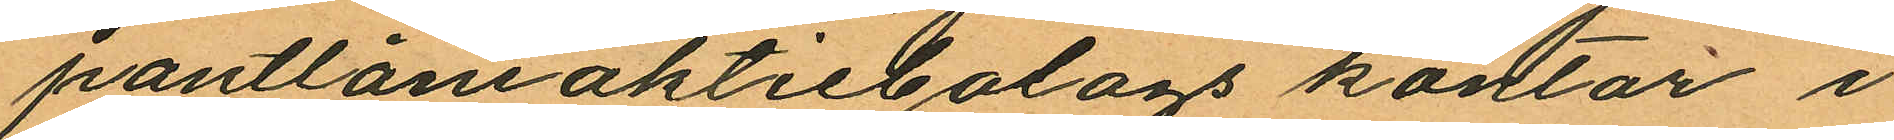pantlåneaktiebolags kontor i
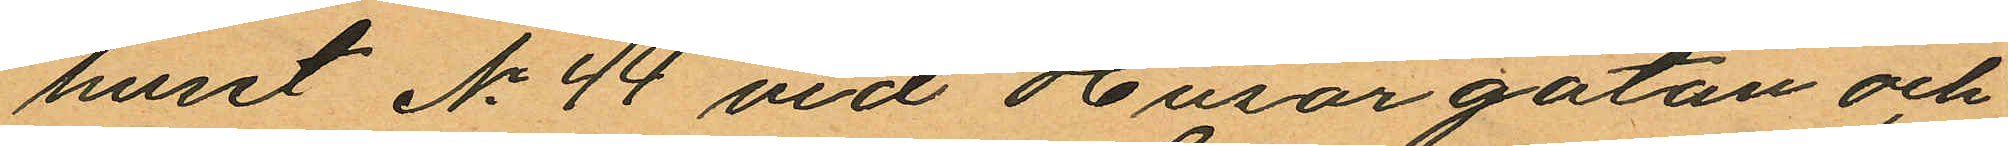huset No 44 vid Husargatan och
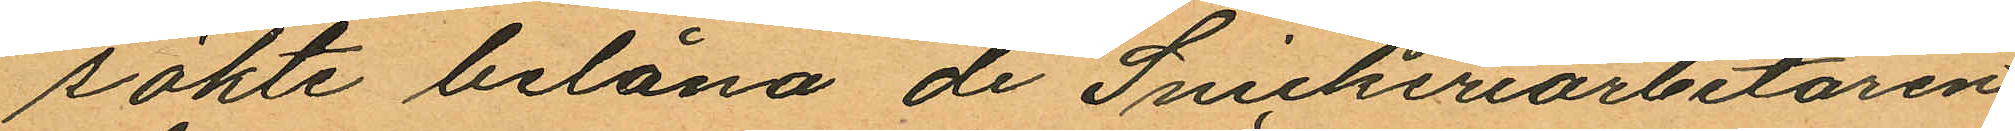sökte belåna de Snickeriarbetaren
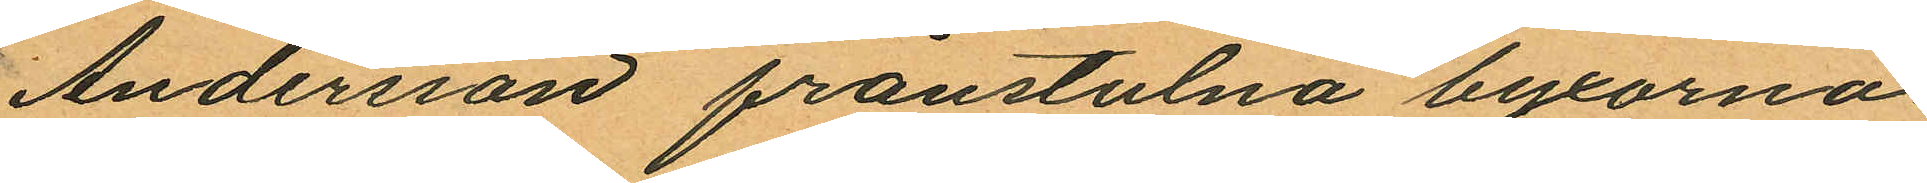Andersson frånstulna byxorna
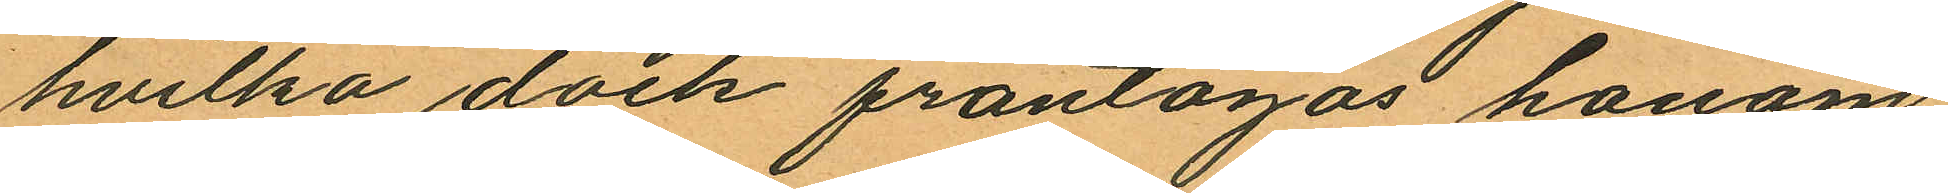hvilka dock fråntogos honom
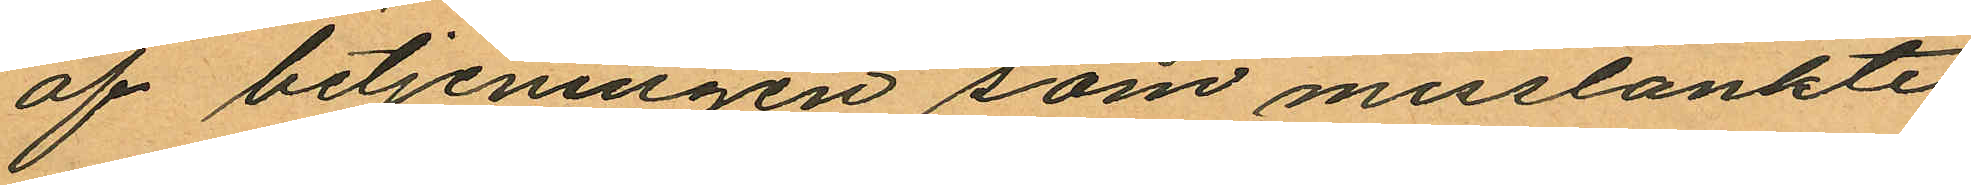af betjeningen som misstänkte
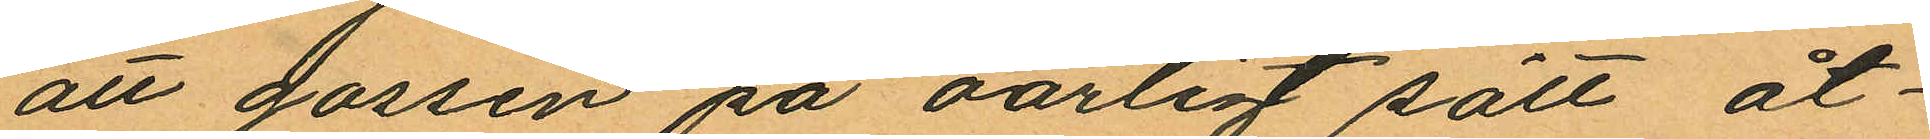att gossen på oärligt sätt åt¬
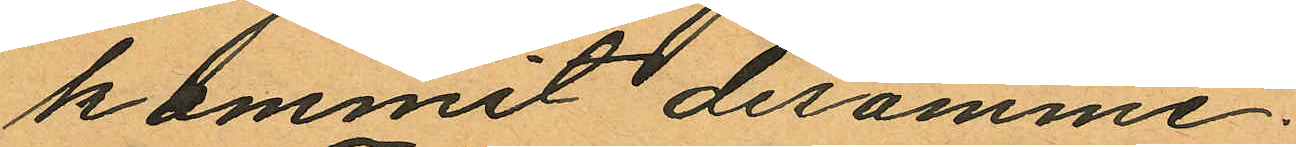kommit desamme.
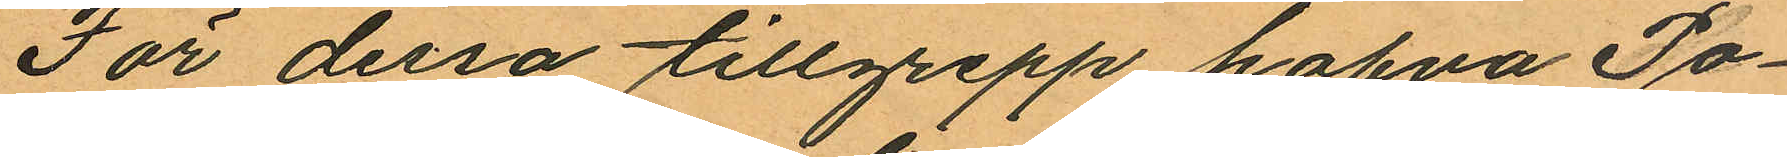För dessa tillgrepp hafva Po¬
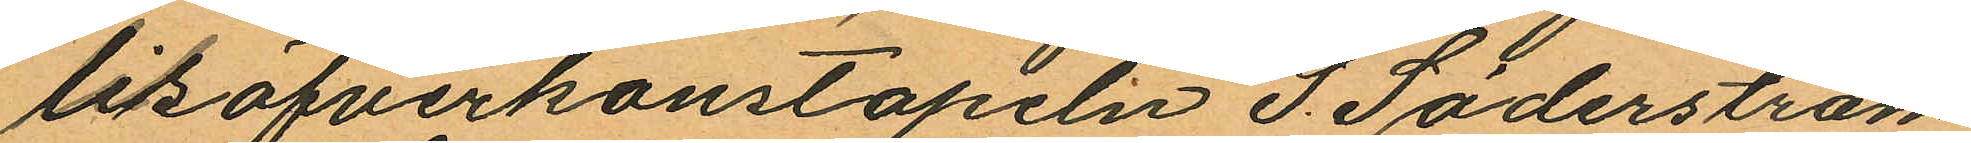lisöfverkonstapeln S. Söderström
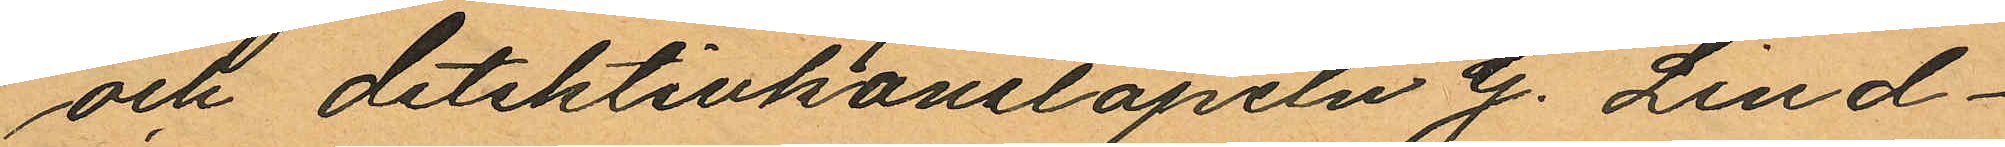och detektivkonstapeln G. Lind¬
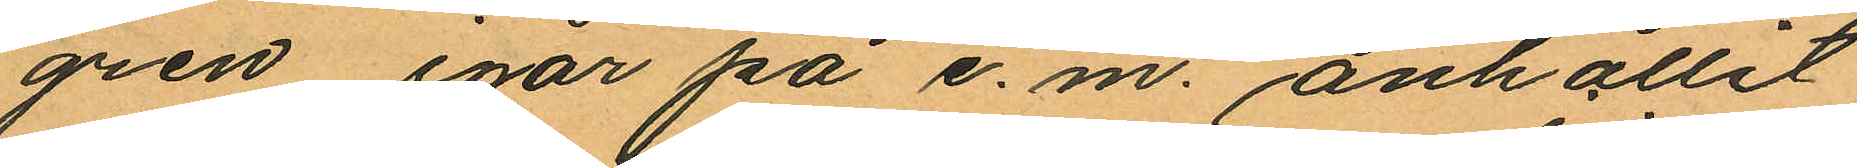gren igår på e. m. anhållit
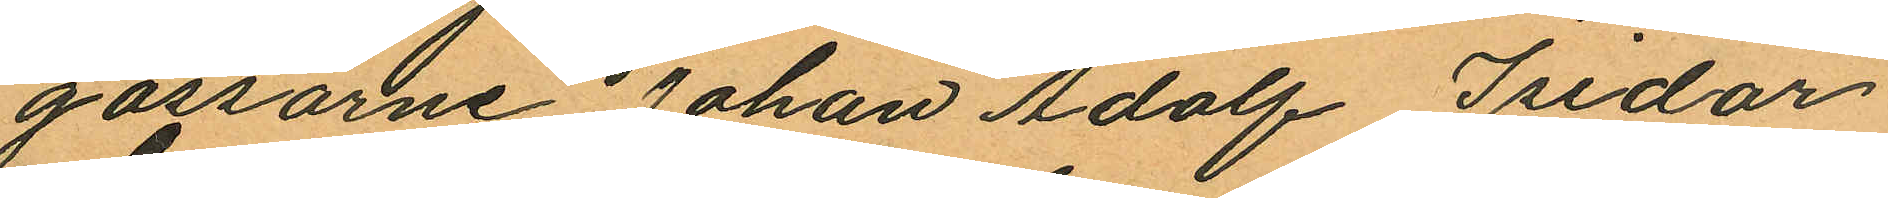gossarne Johan Adolf Isidor
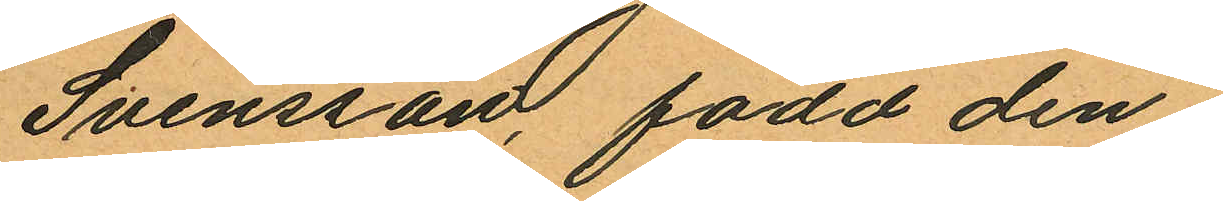Svensson, född den
